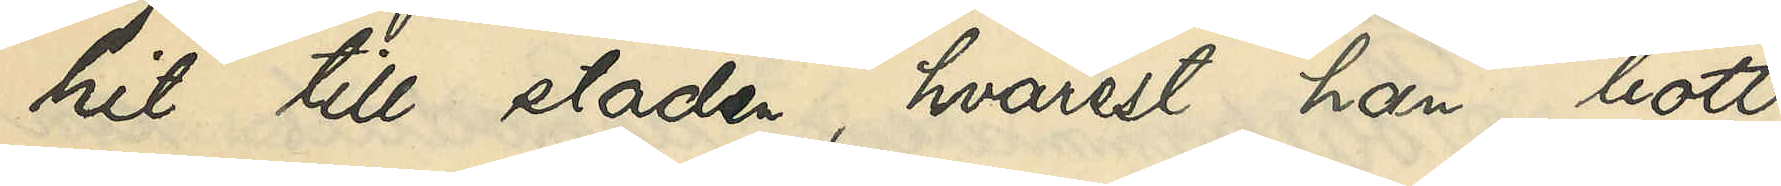hit till staden, hvarest han bott
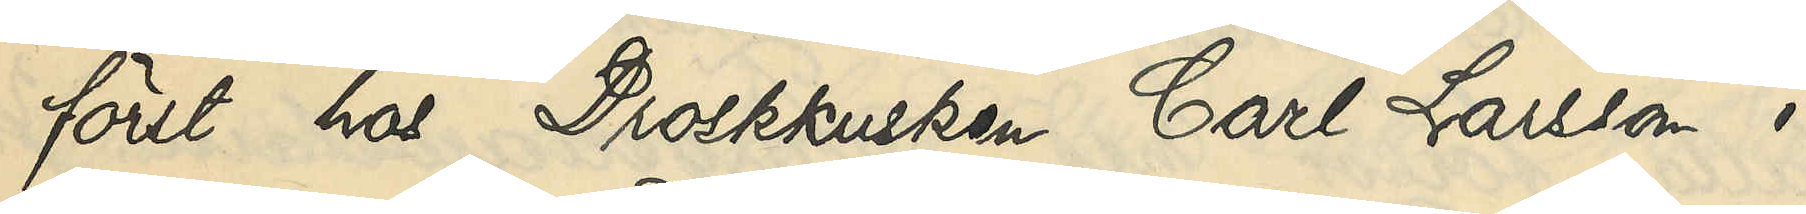först hos Droskkusken Carl Larsson i
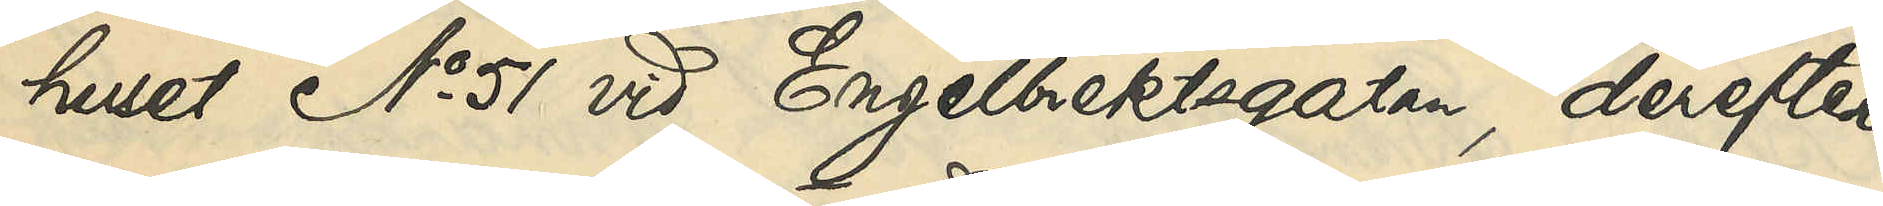huset No 51 vid Engelbrektsgatan, derefter
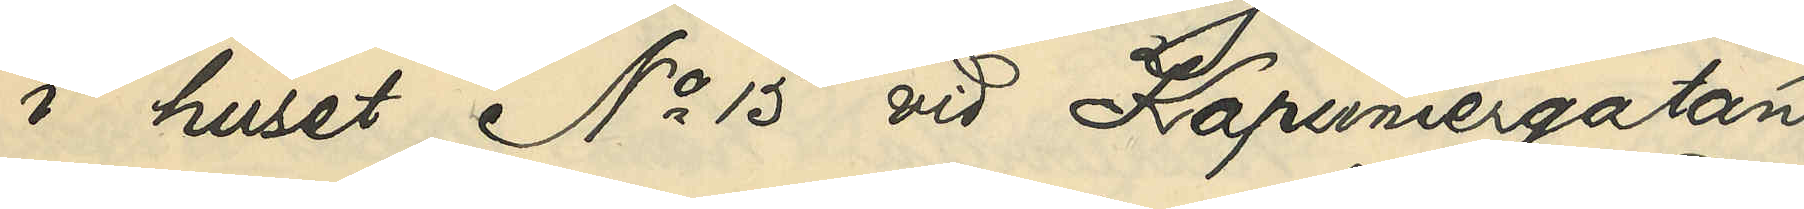i huset No 15 vid Kapuniergatan
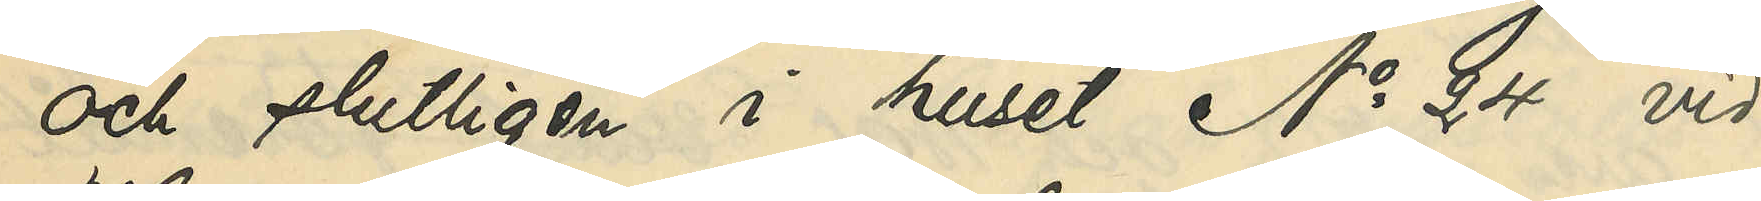och slutligen i huset No 24 vid
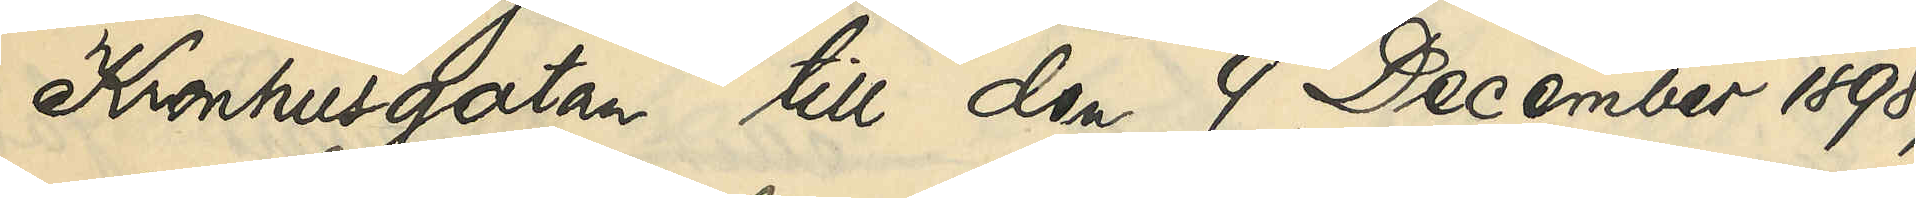Kronhusgatan till den 9 December 1898,
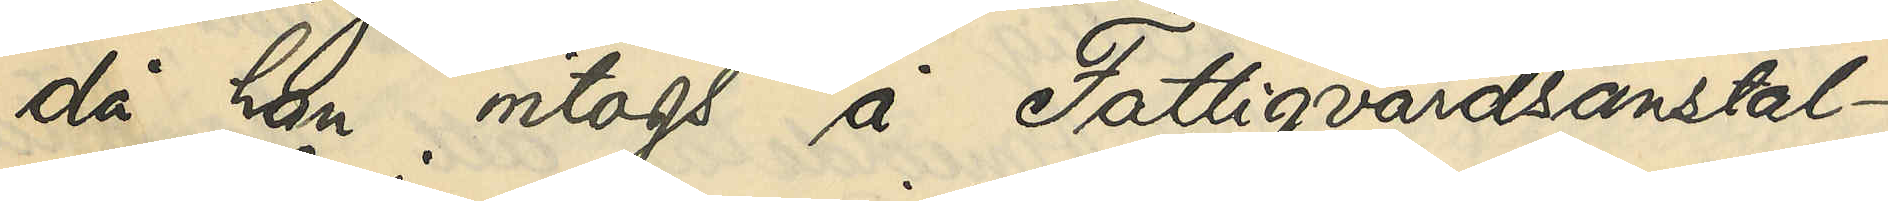då han intogs å Fattigvårdsanstal¬
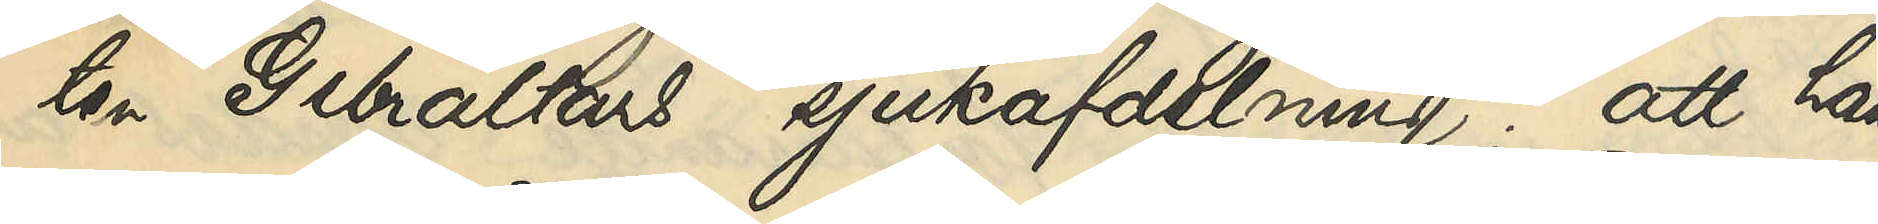ten Gibraltars sjukafdelning; att han
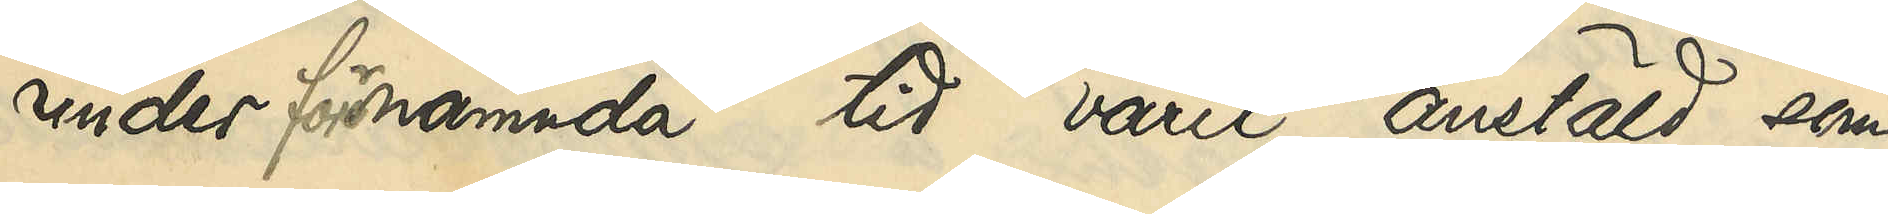under förenämnda tid varit anstäld som
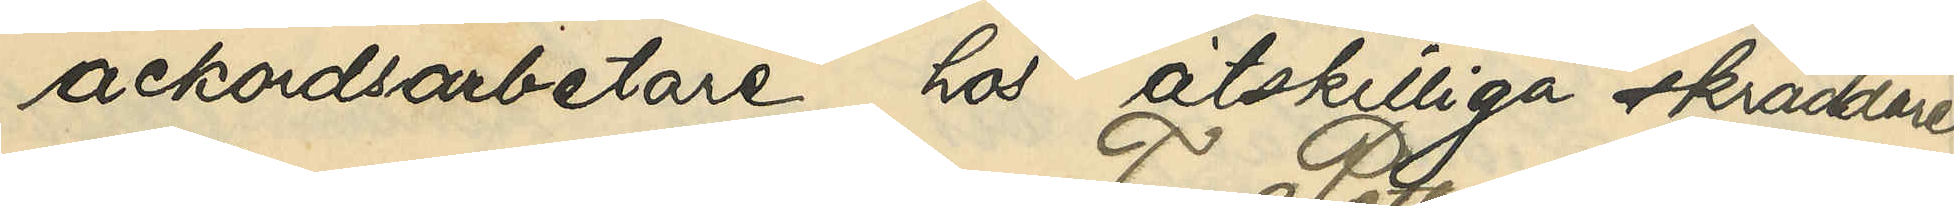ackordsarbetare hos åtskilliga skräddare
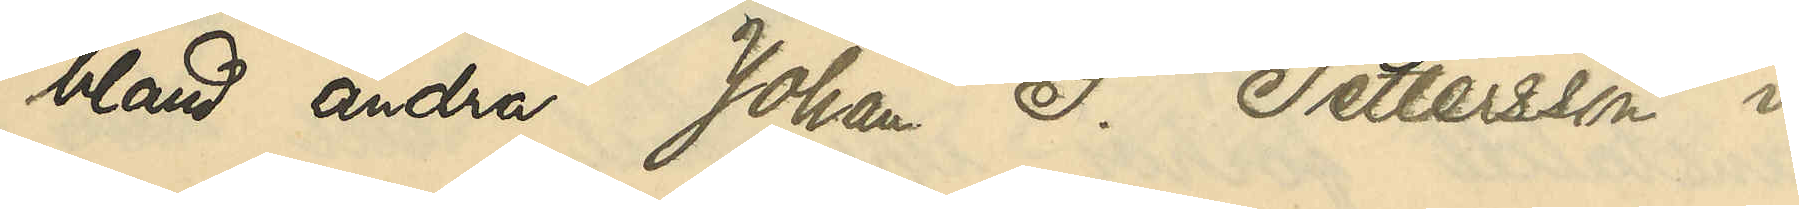bland andra Johan F. Pettersson i
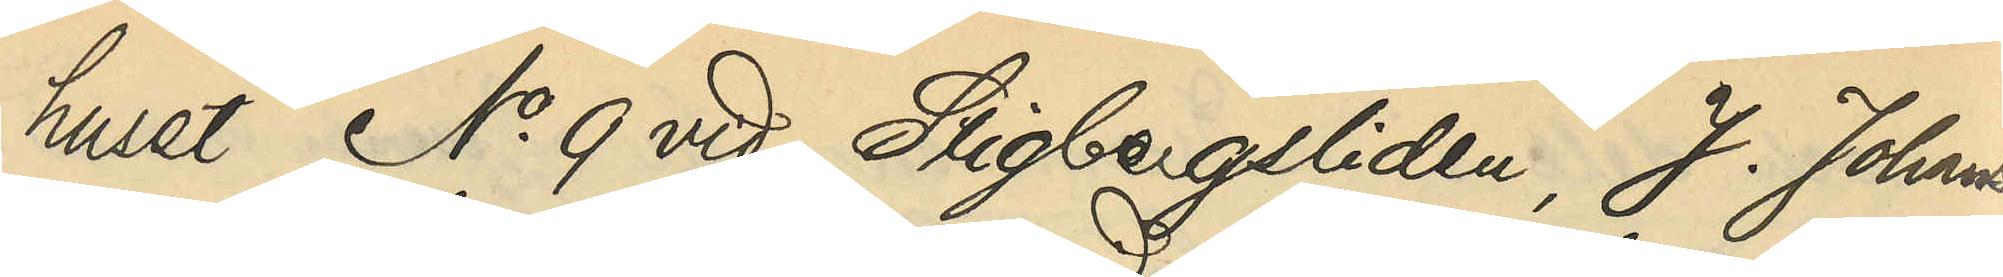huset No 9 vid Stigbergsliden, J.Johans¬
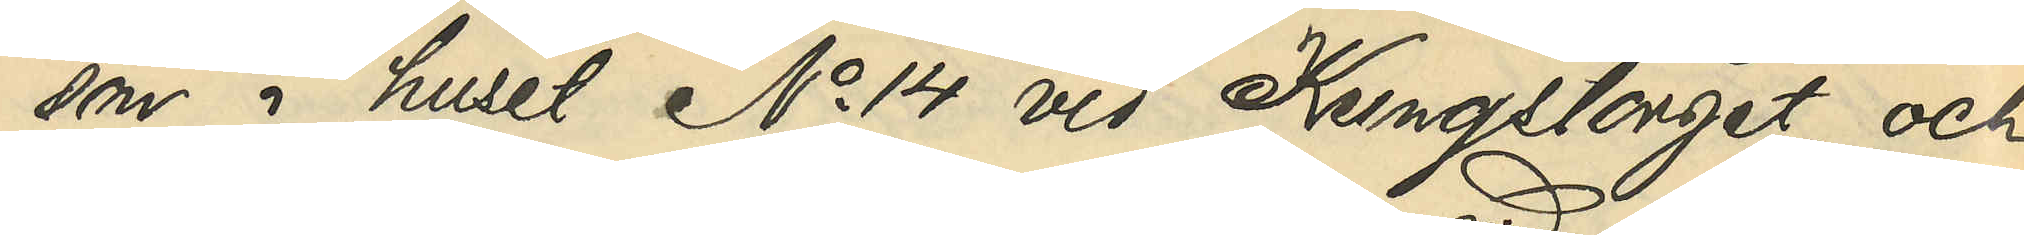son i huset No 14 vid Kungstorget och
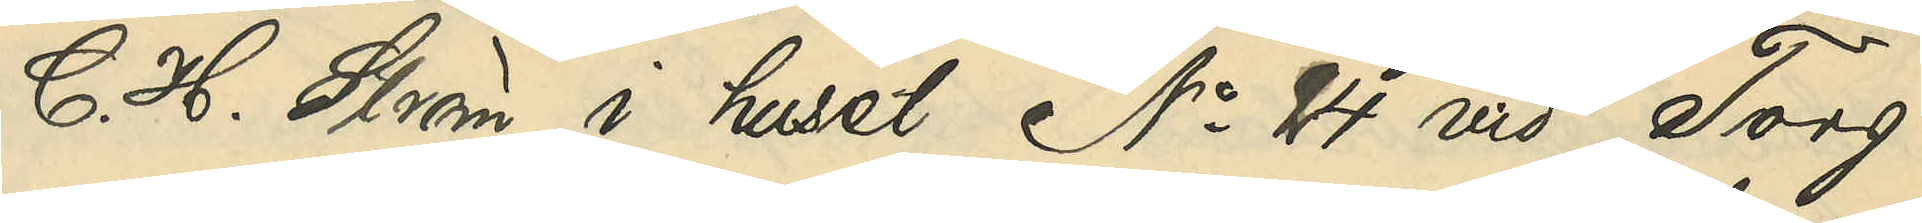C. H. Ström i huset No 24 vid Torg¬
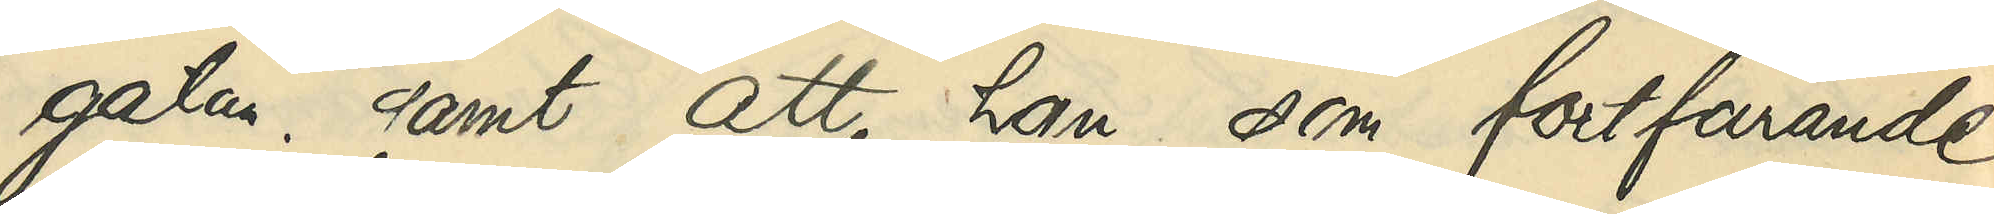gatan; samt att han som fortfarande
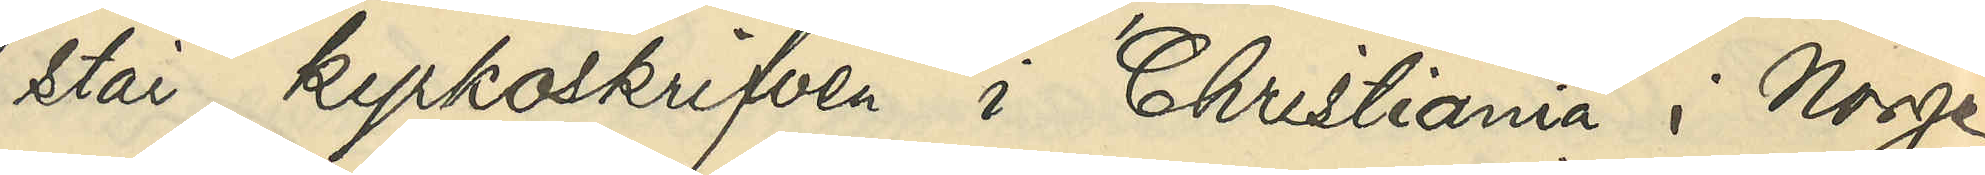står kyrkoskrifven i Christiania i Norge
